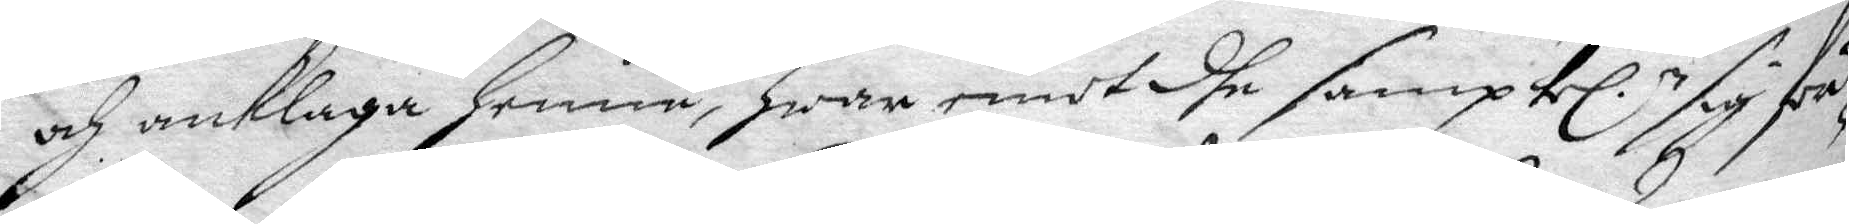och anklaga henne, hwar emot dhe samptel.e sig för¬
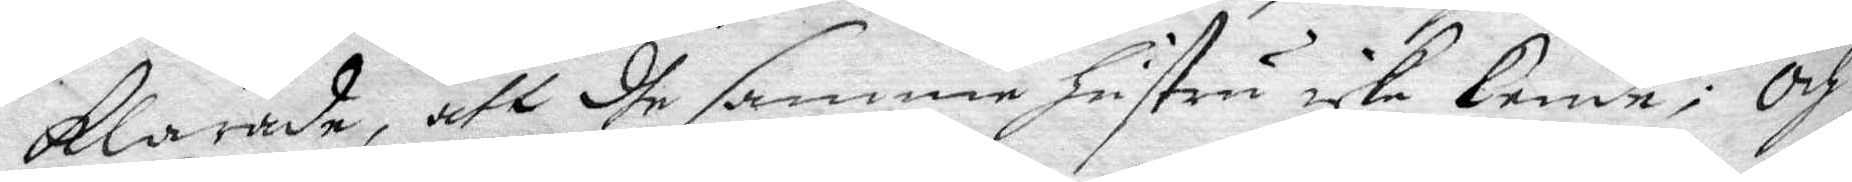klarade, att dhe samme hustru icke kende; Och
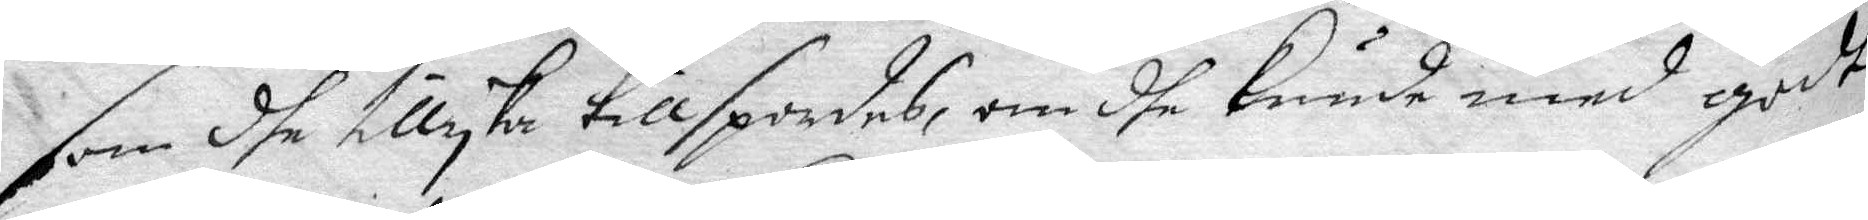som dhe tillyka tillspordes, om dhe kunde med godt
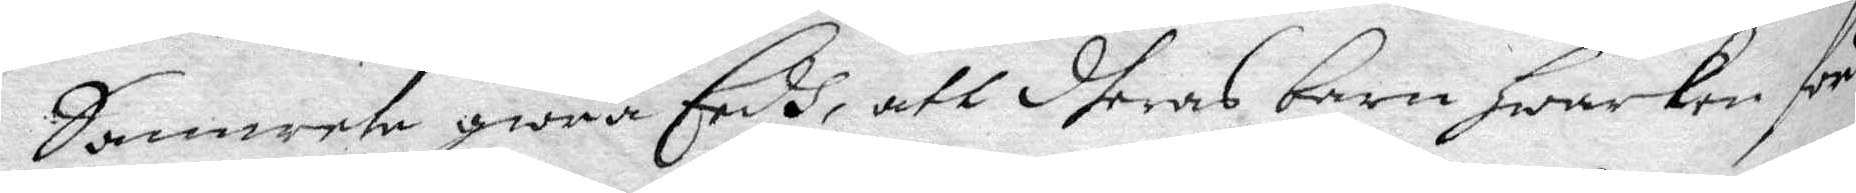Samwete giöra Eedh, att dheras barn hwarken för
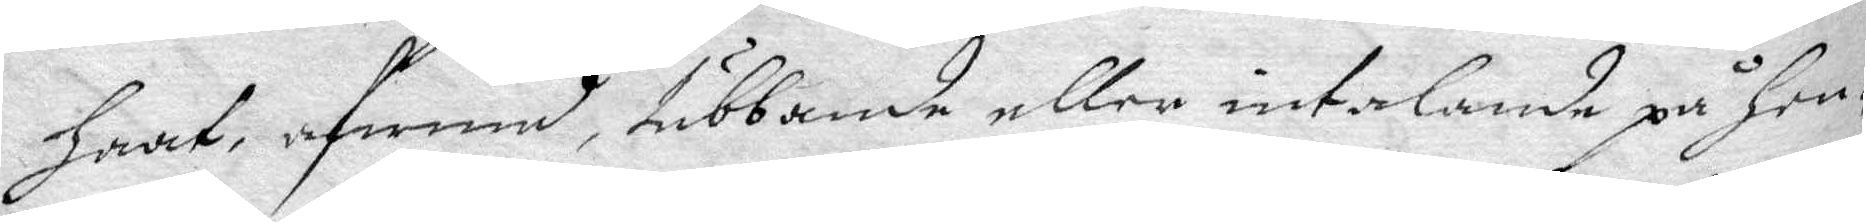haat, afwund, tubbande eller intalande på hen¬
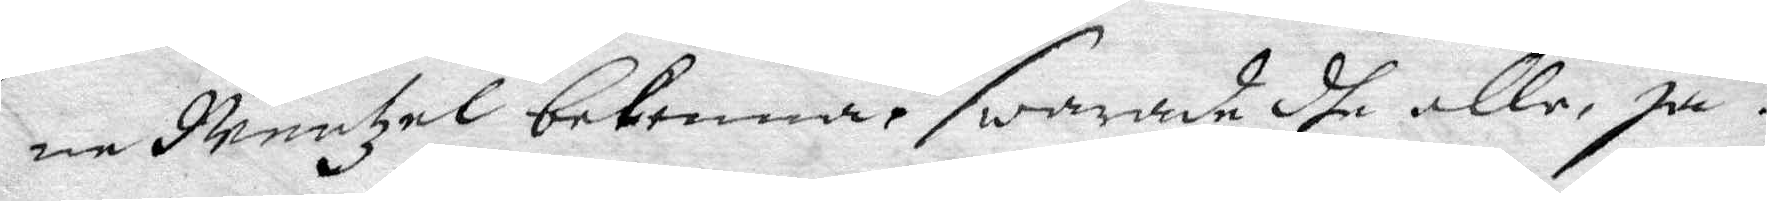ne Mentzel bekenna? swarade dhe alle, ja.
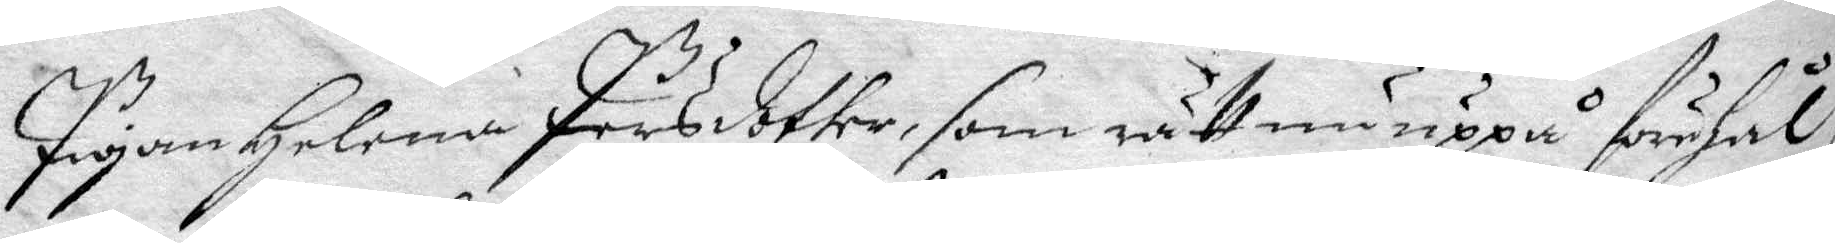Pigan Helena Persdotter, som rätt nu uppå förhål¬
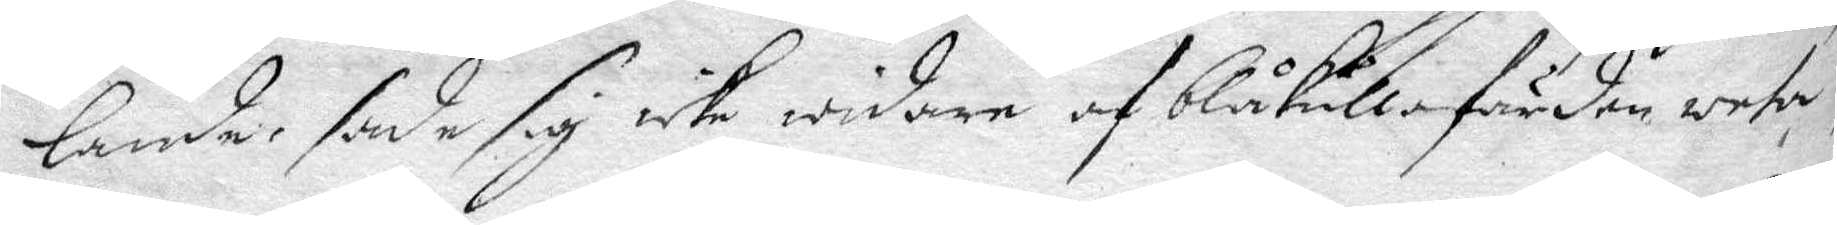lande, sade sig icke widare af blåkullafärden weta
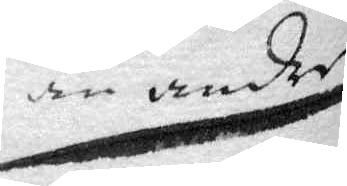än andre
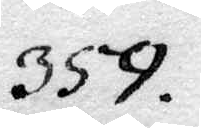359.
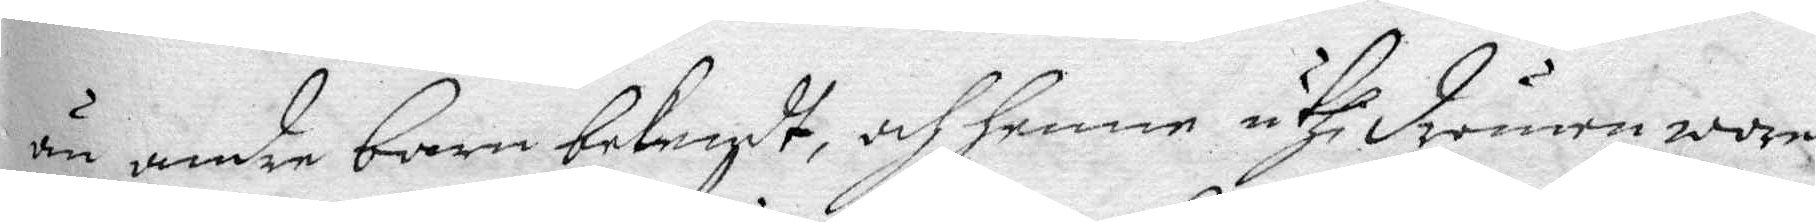än andre barn bekendt,  af henne uthi drömen wore
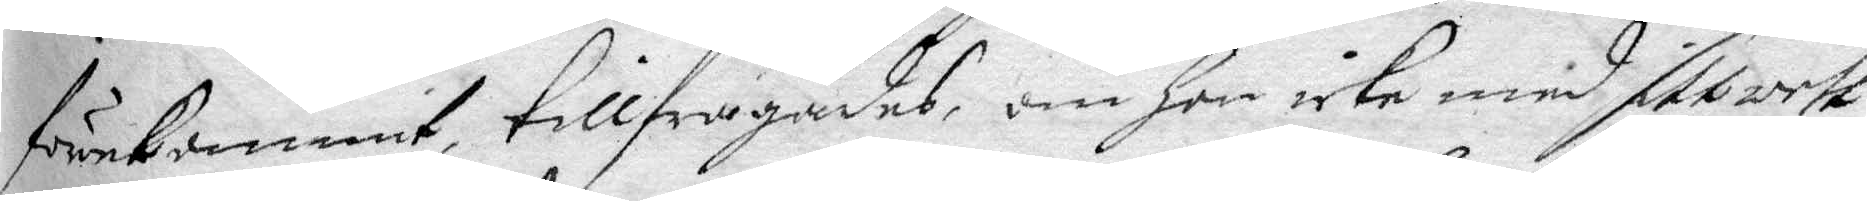förekommit, tillfrågades, om hon icke med sitt wett
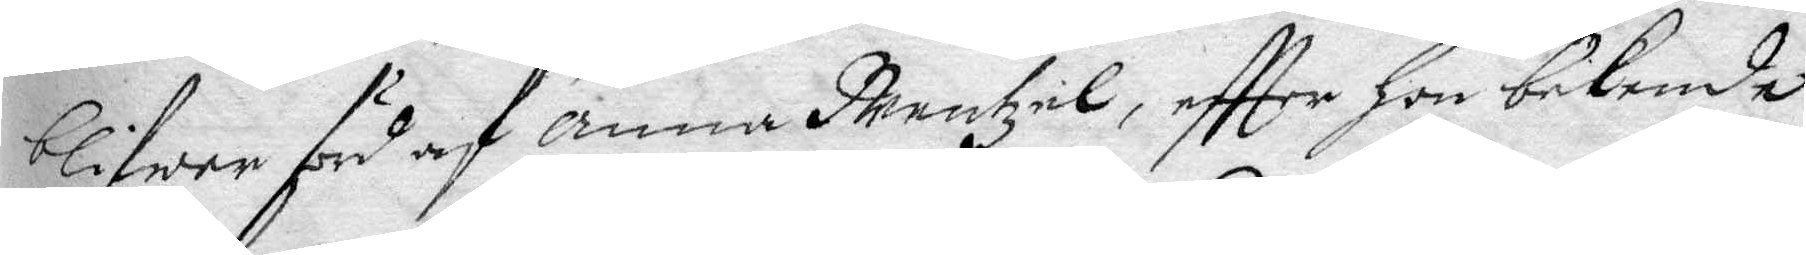blifwer förd af anna Meentzel, eftter hon bekende
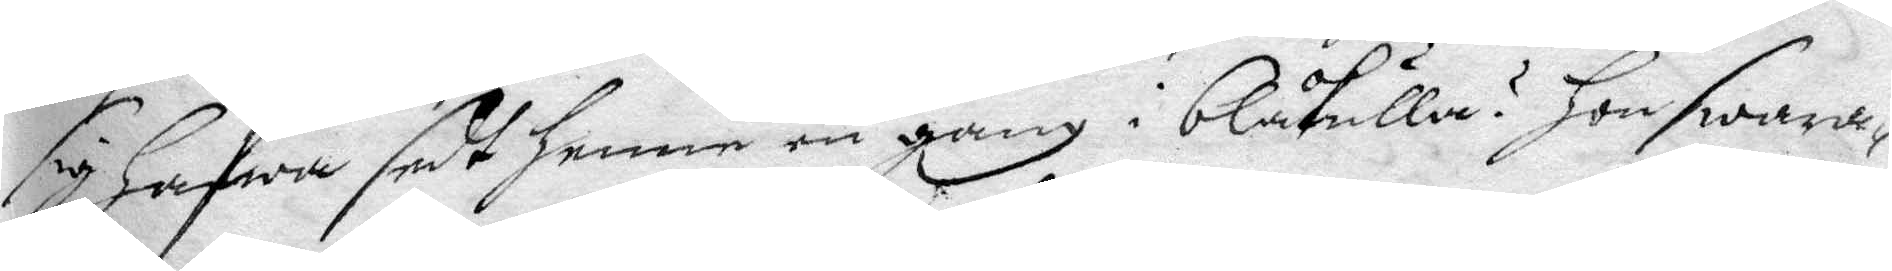sig hafwa sedt henne en gång i blåkulla? hon swara¬
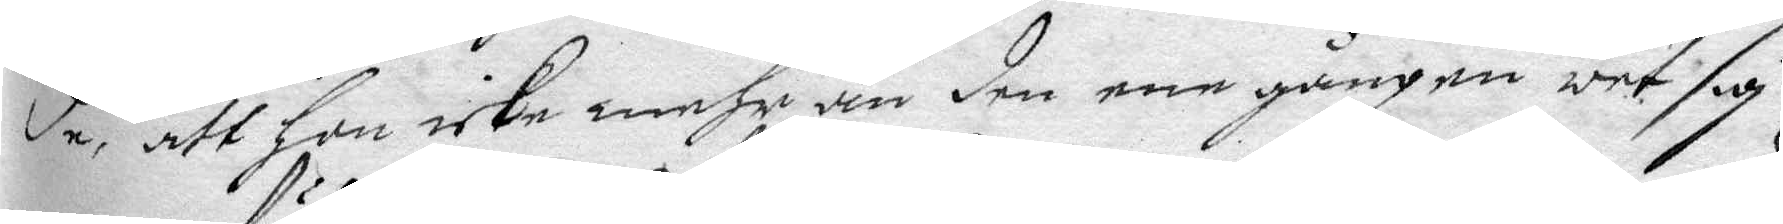de, att hon icke mehr än den ene gången wet sig
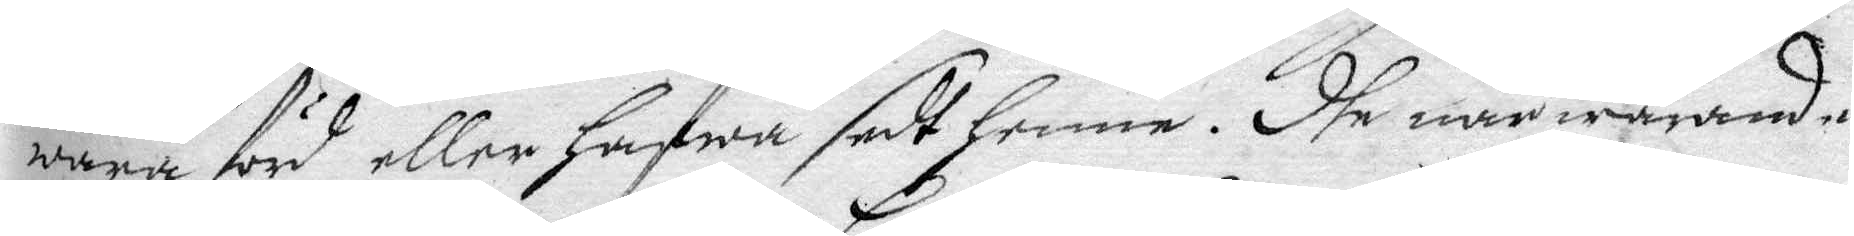wara förd eller hafwa sedt henne. dhe närwarande
